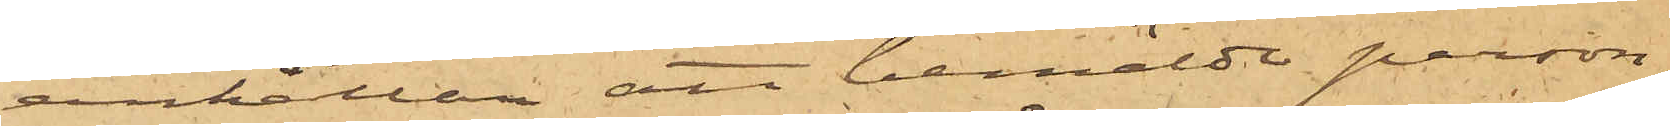anhållan att bemälde person,
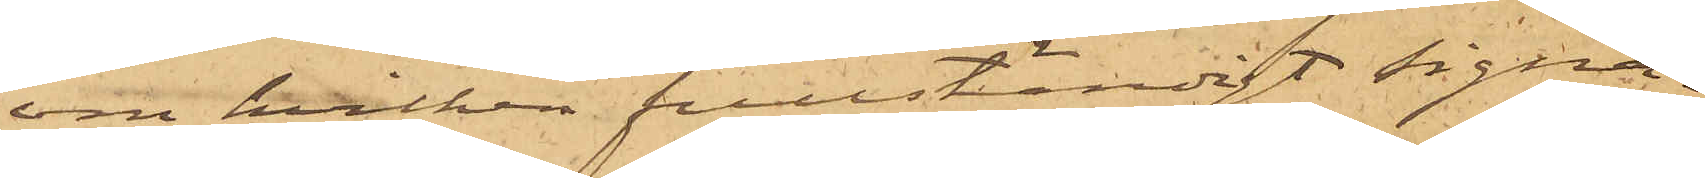om hvilken fullständigt signa¬
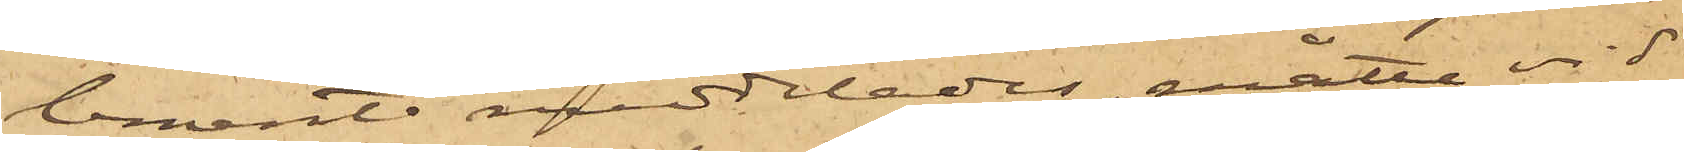lement meddelades, måtte vid
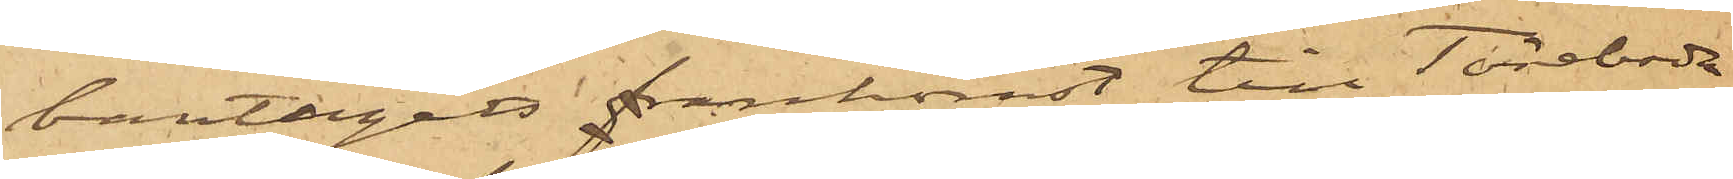bantågets ankomst till Töreboda
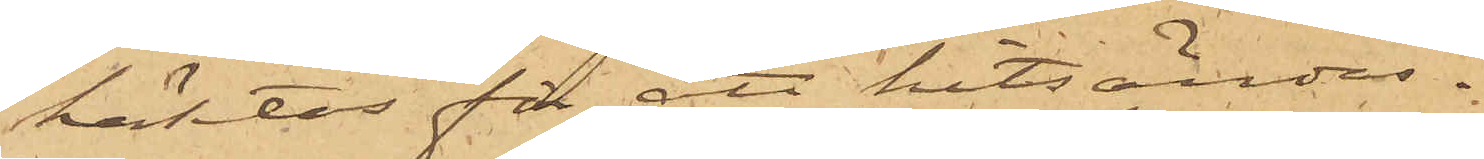häktas för att hitsändas.
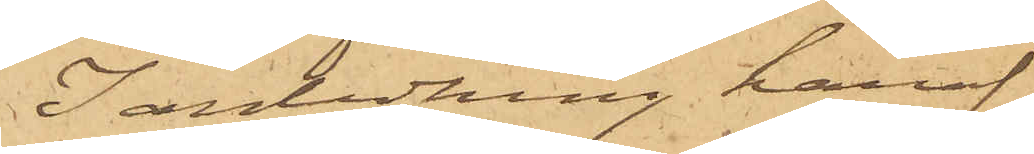I anledning häraf
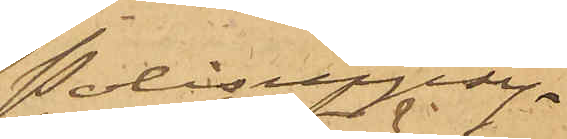Polisuppsy¬
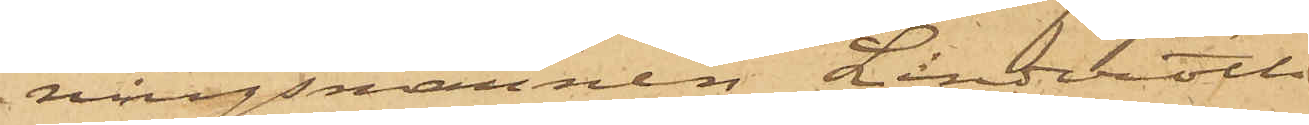ningsmannen Linderoth
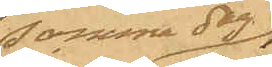samma dag
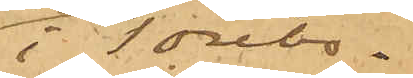i Törebo¬
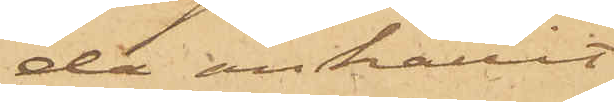da anhållit
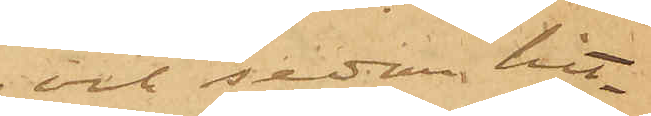och sedan hit¬
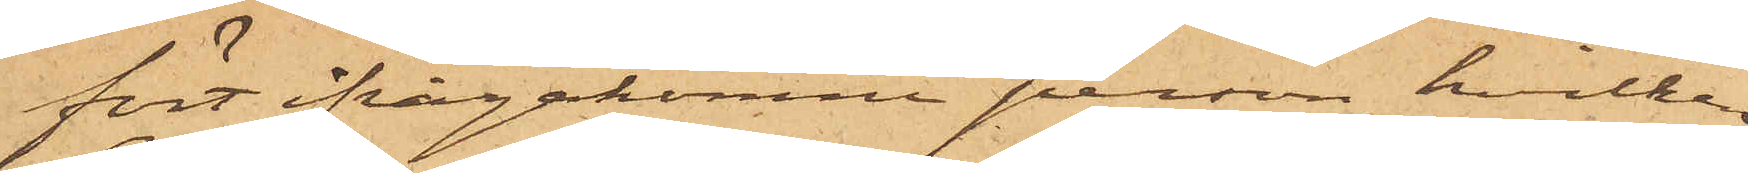fört ifrågakomne person, hvilken
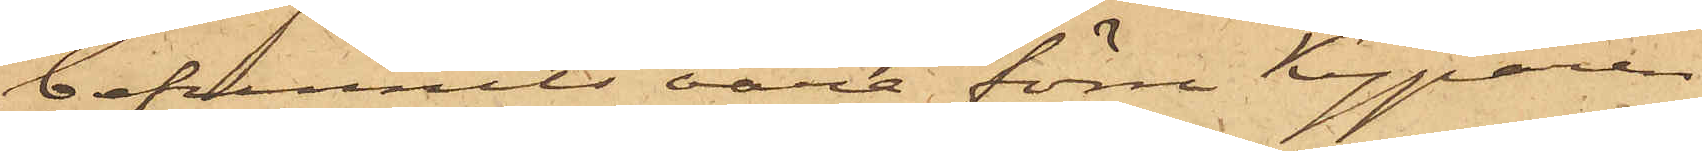befunnits vara förre Kyparen
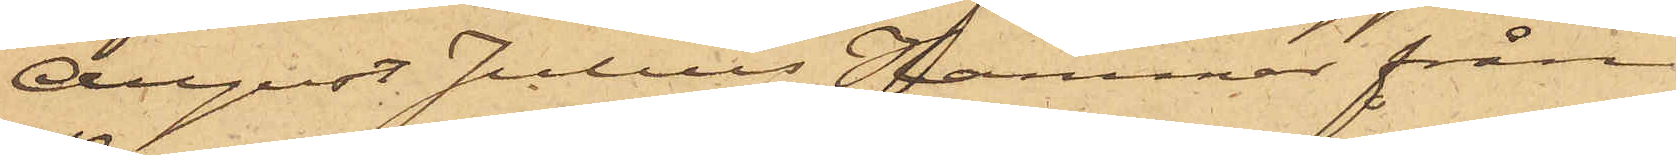August Julius Hammar från
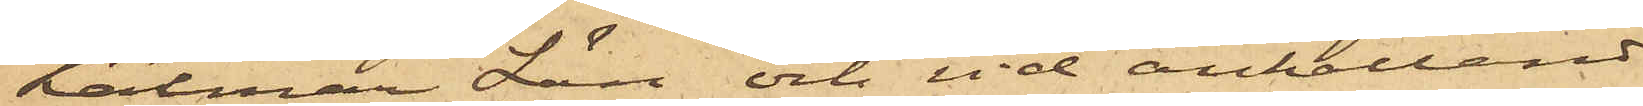Kalmar Län och vid anhållandet
